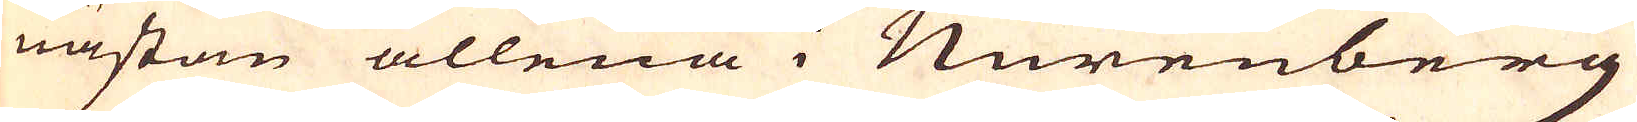nästan allena i Nurenberg
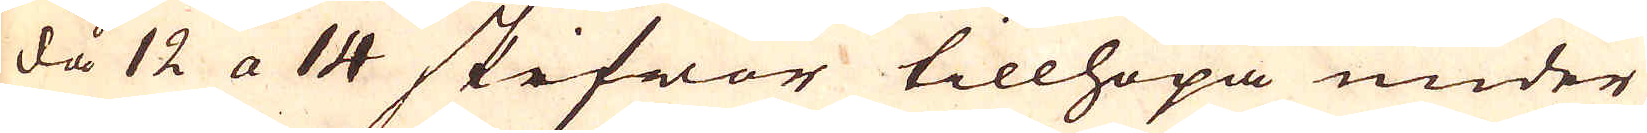då 12 a 14 skifwor tillhopa under
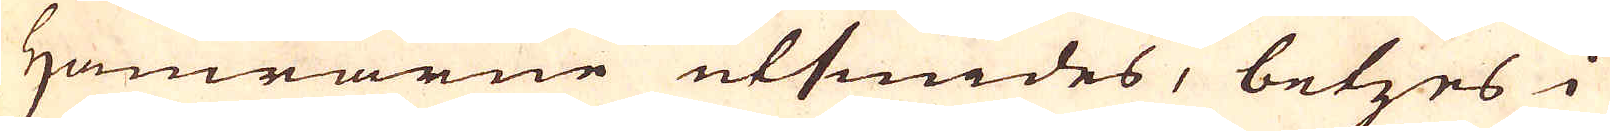Hamrarne utsmides, betzes i
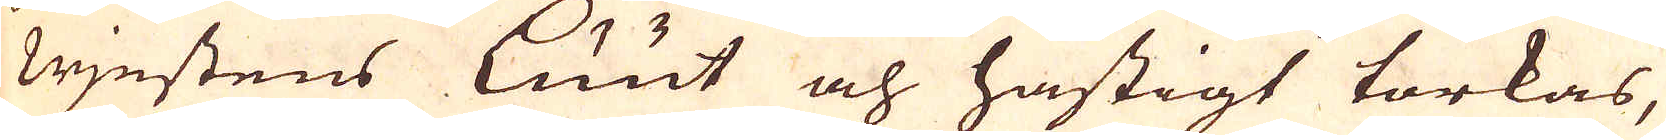wjestens luut och hastigt torkas,
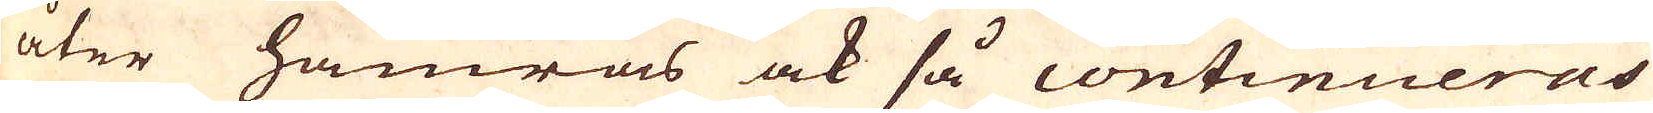åter hamras ock så continueras
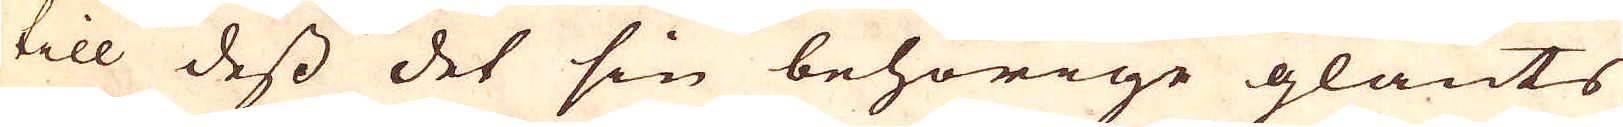till dess det sin behörige glants
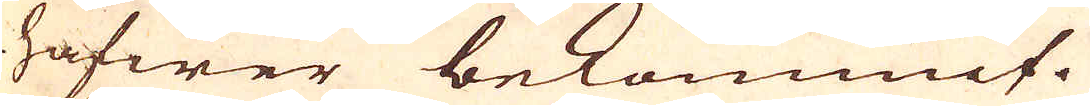hafwer bekommit.
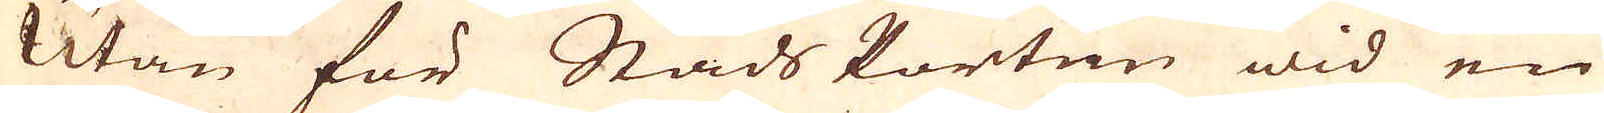Utan för Stads Porten wid en
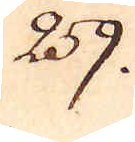259.
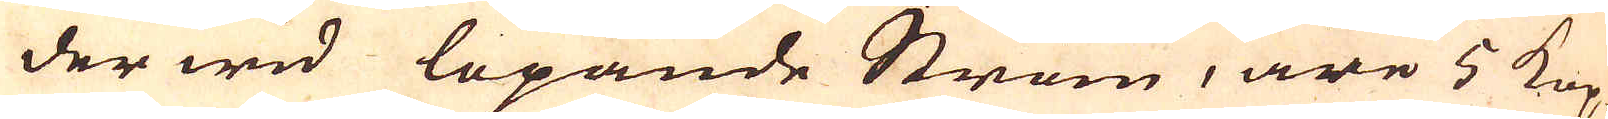der wid löpande Ström, äre 5 Kop-
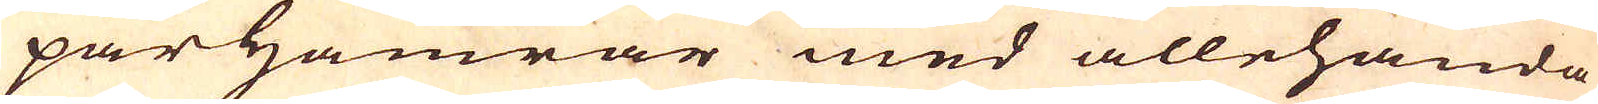par Hamrar med allehanda
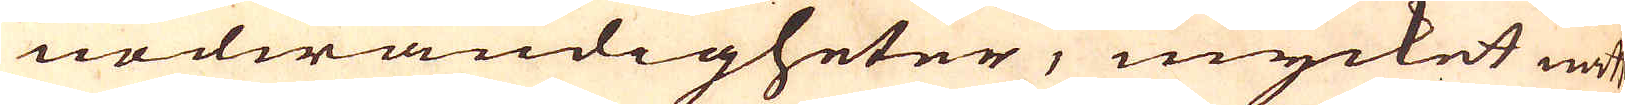nödwändigheter, mycket nätt
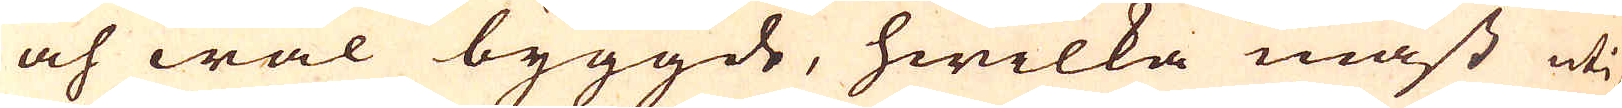och wäl byggde, hwilka mäst uti
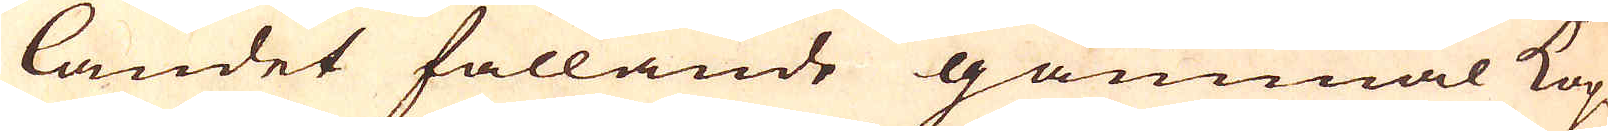landet fallande gammal Kop-
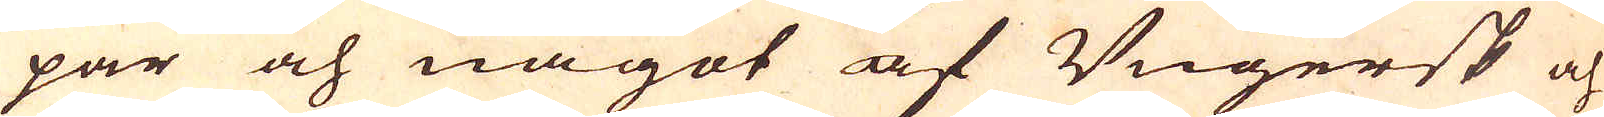par och något af Ungersk och
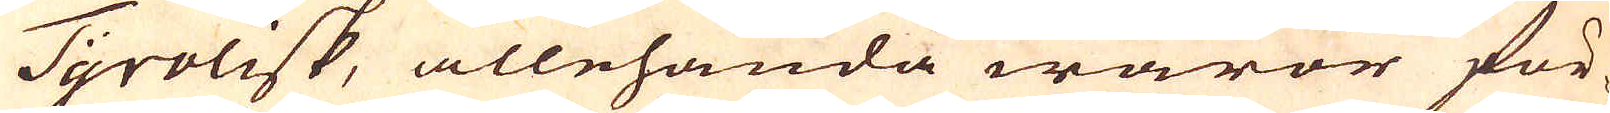Tyrolisk, allehanda waror för-
